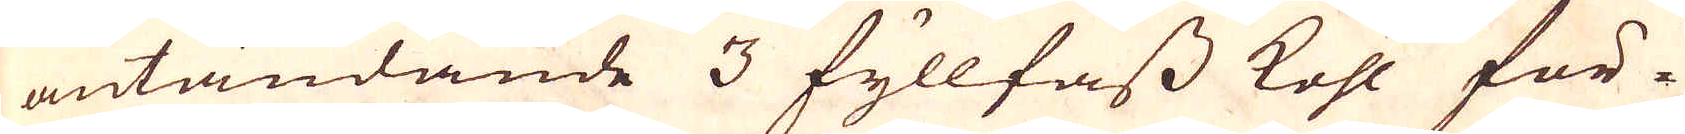antändande 3 fyllfass kohl för-
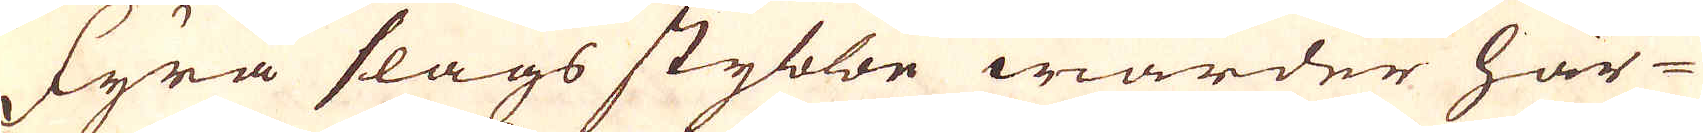Fyra slags stybbe warder här-
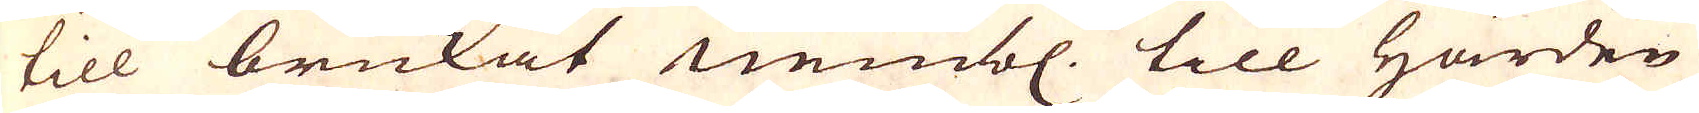till brukat nembl. till härden
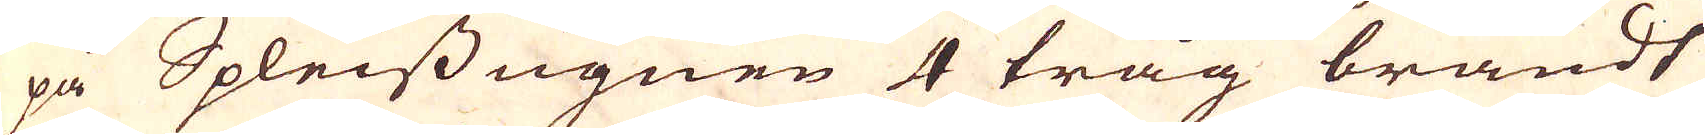på Spleissugnen 4 tråg brändt
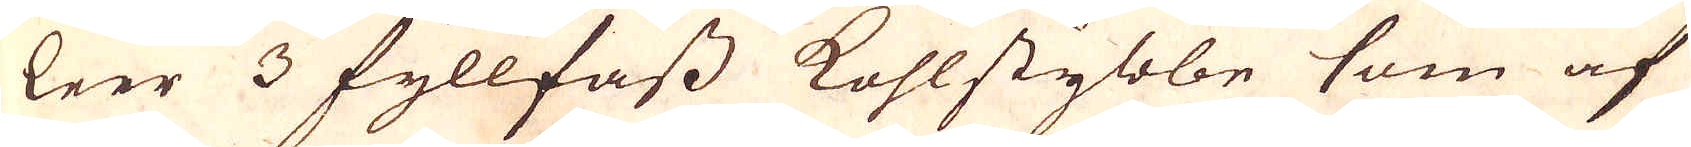leer 3 fyllfass kohlstybbe som af
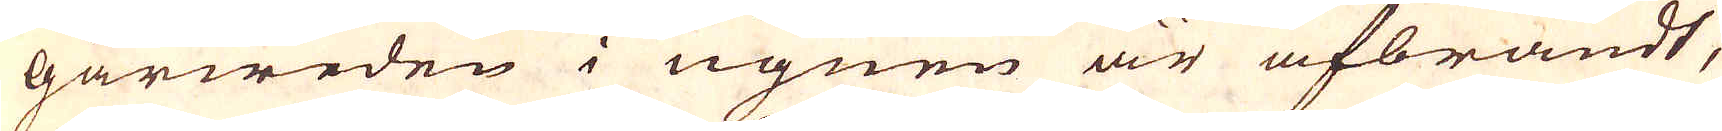gårweden i ugnen är afbrändt,
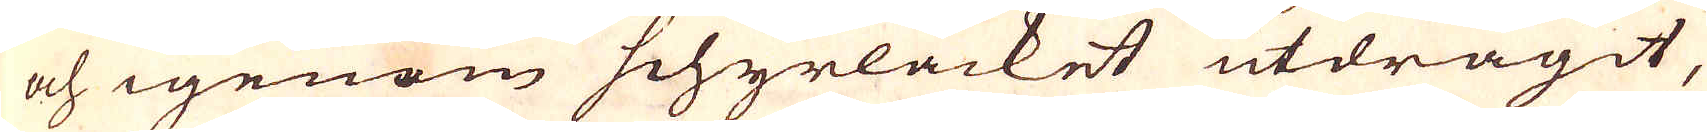och igenom Schyrlåcket utdragit,
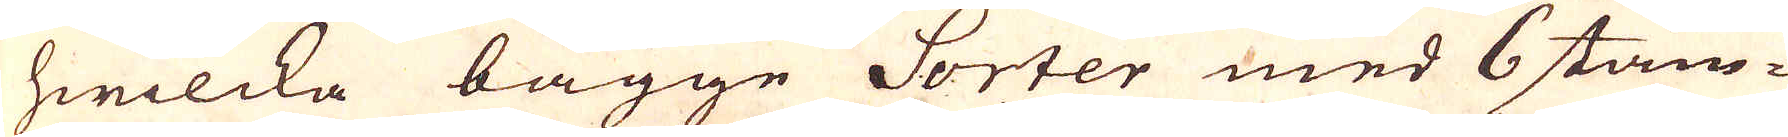hwilcka bägge Sorter med 6 stäm-
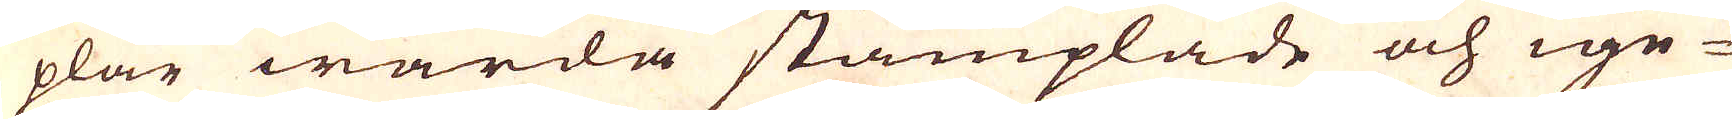plar warda stämplade och ige-
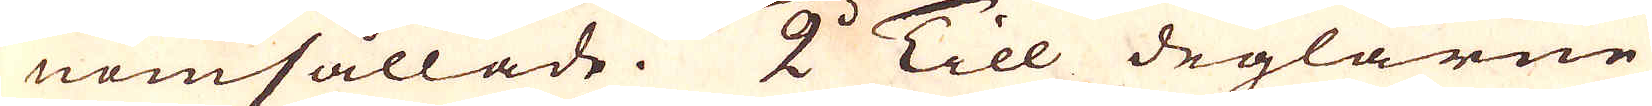nomsållade. 2:o Till deglarne
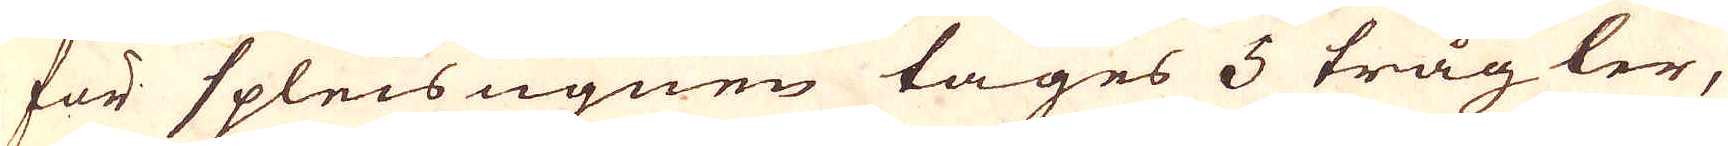för Spleis ugnen tages 5 tråg ler,
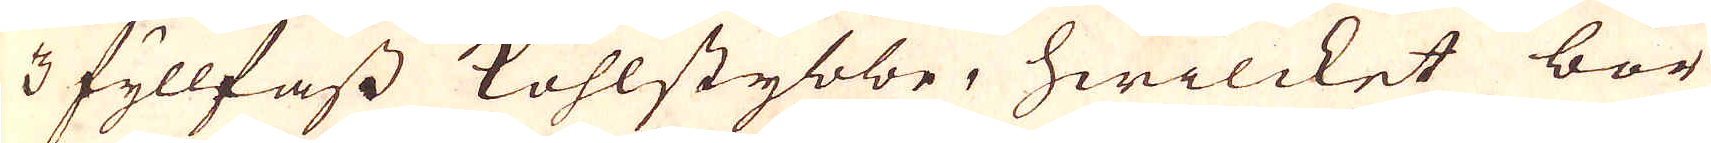3 fyllfass kohlstybbe, hwilcket bör
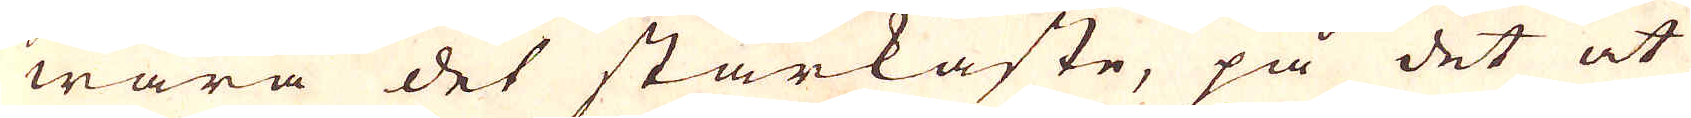wara det starkaste, på det at
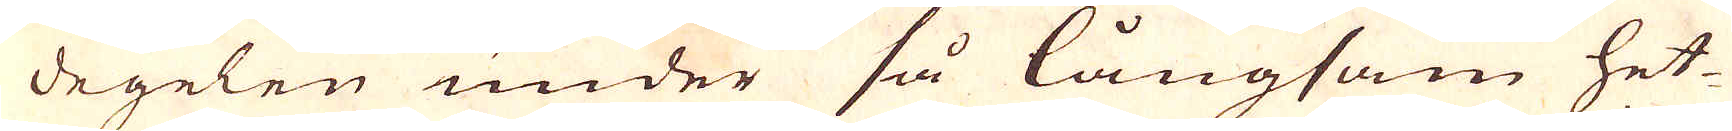degelen under så långsam het-
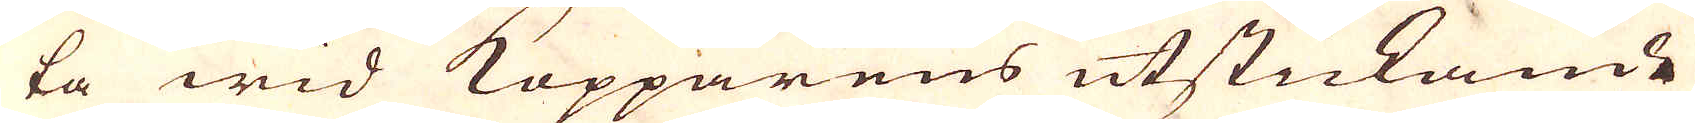ta wid Kopparens utstickande
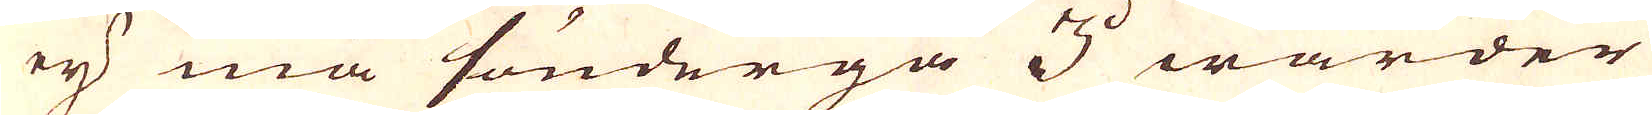ej må söndergå 3:o warder
